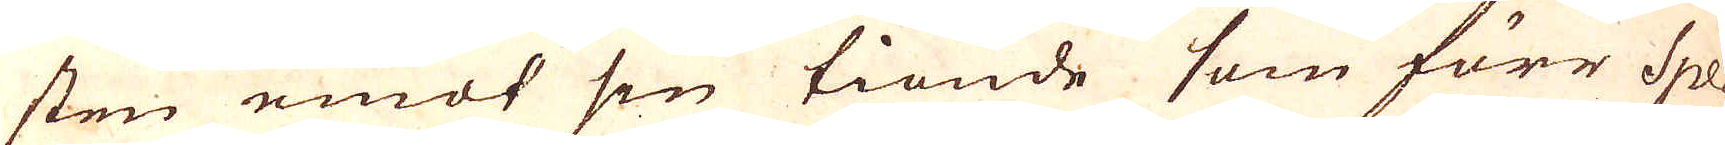sten emot sin tionde som förr Spe-
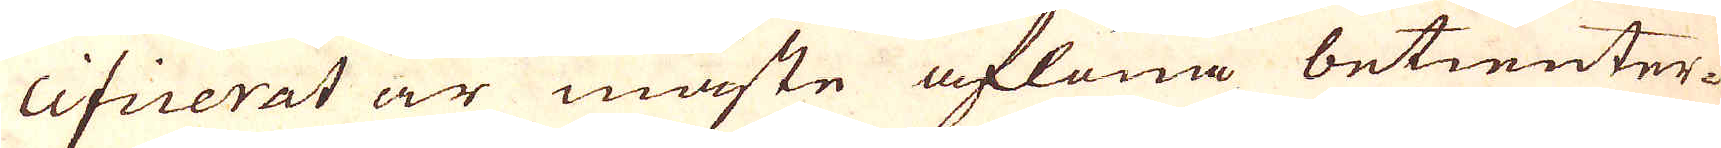cificerat är måste aflöna betienter-
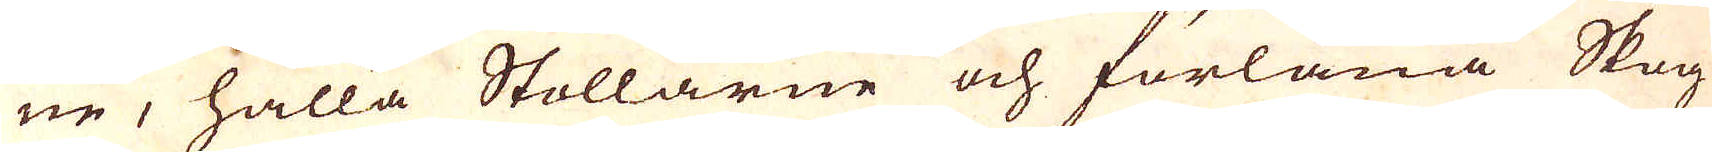ne, hålla Stollarne och förläna Skog
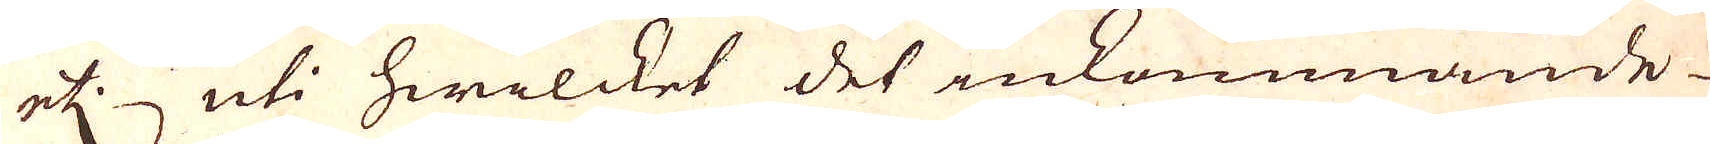etc. uti hwilcket det inkommande
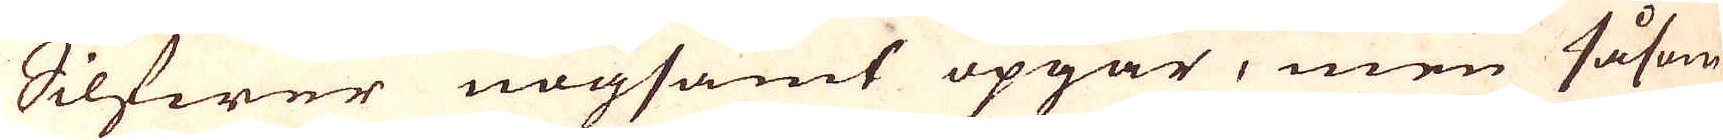Silfwer nogsamt upgår, men Såsom
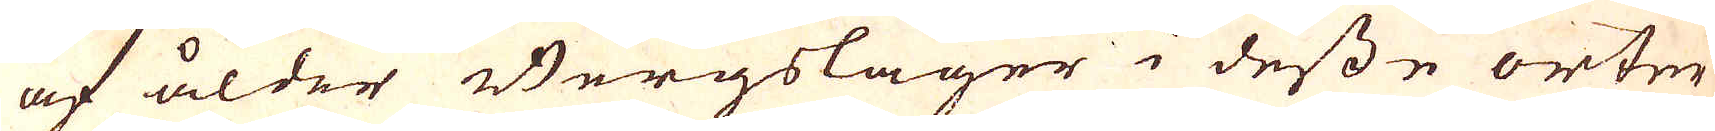af ålder Bergslager i desse orter
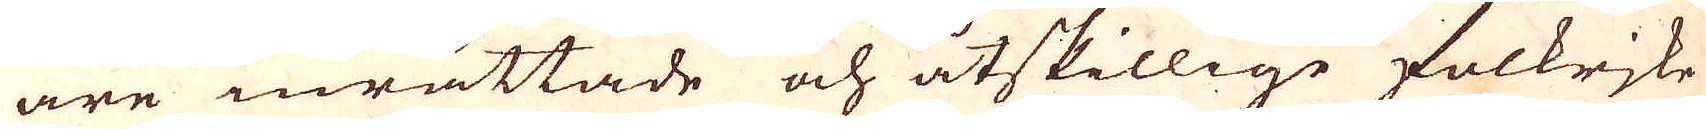äre inrättade och åtskillige folkrjke
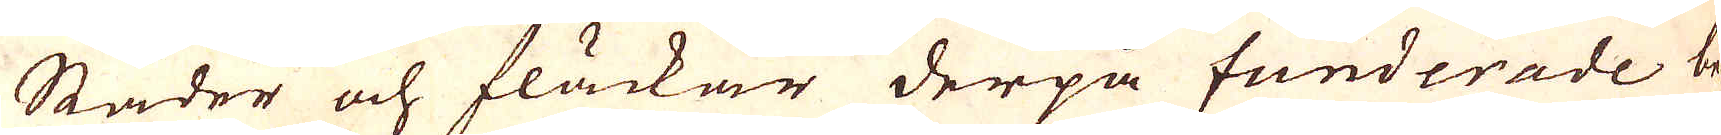Städer och fläckar derpå funderade be-
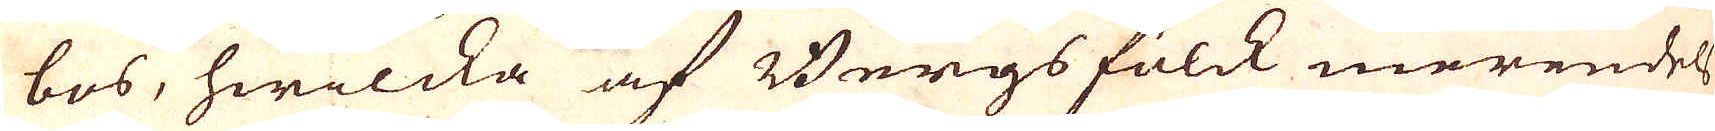bos, hwilcka af Bergsfolck merendels
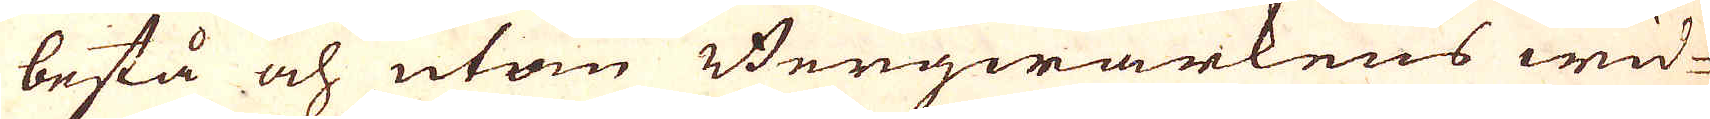bestå och utom Bergwärkens wid-
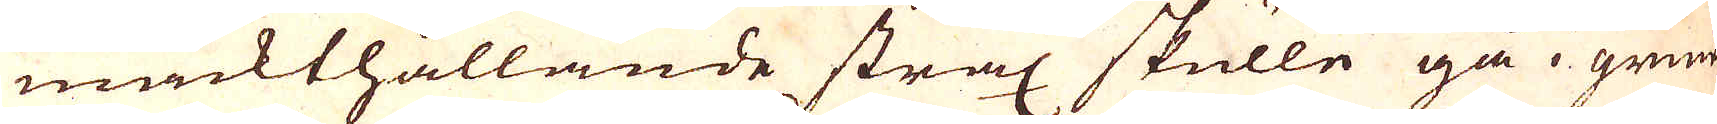mackthållande strax skulle gå i grund
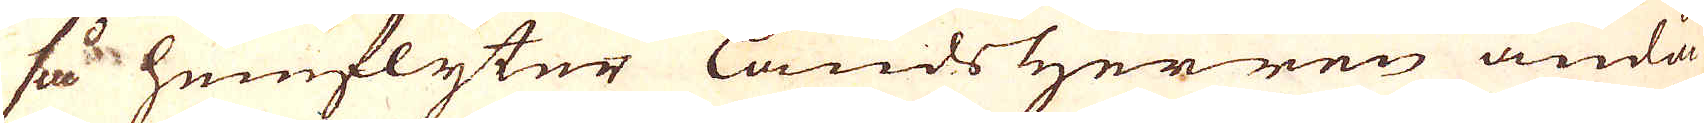så hemflyter LandsHerren ändå
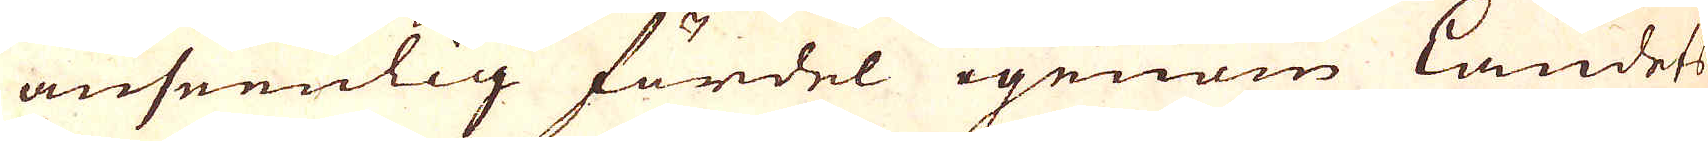anseenlig fördel igenom landets
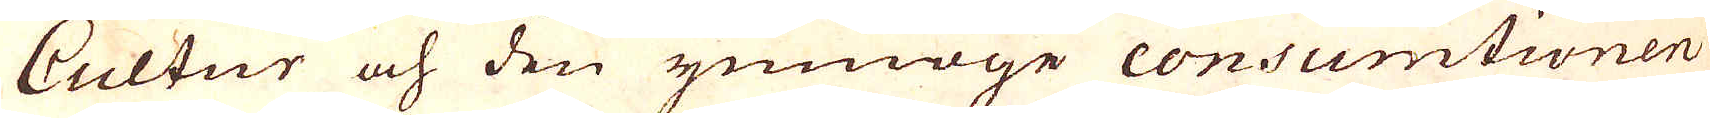Cultur och den ymmoge consumtionen
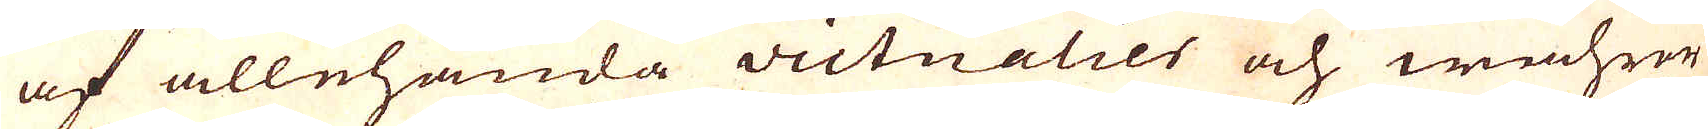af allehanda victualier och wahror
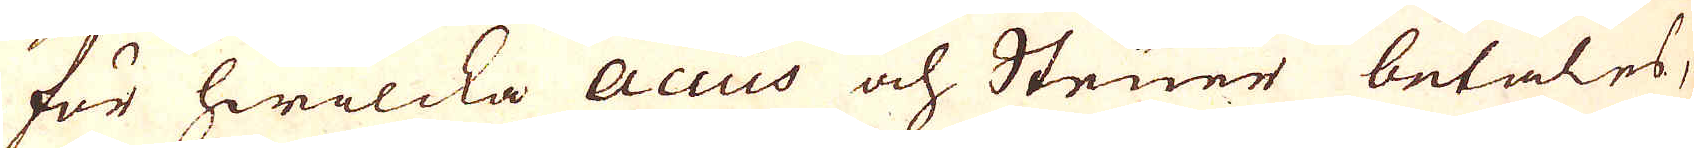för hwilcka Accüs och Steuer betales,
